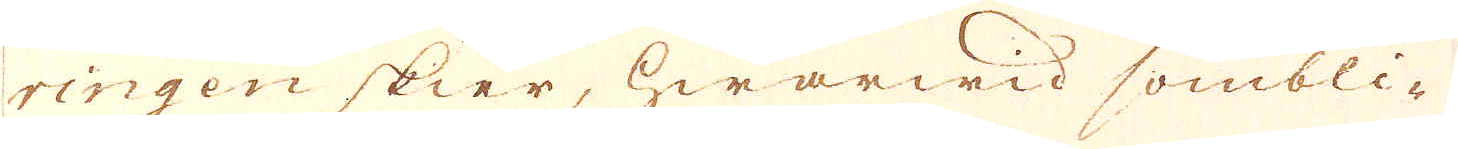ringen skier, hwarwid sombli-
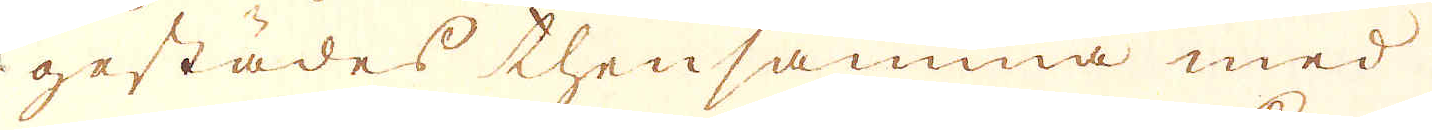gestädes thensamma med
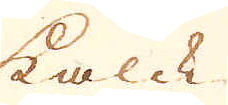kalck
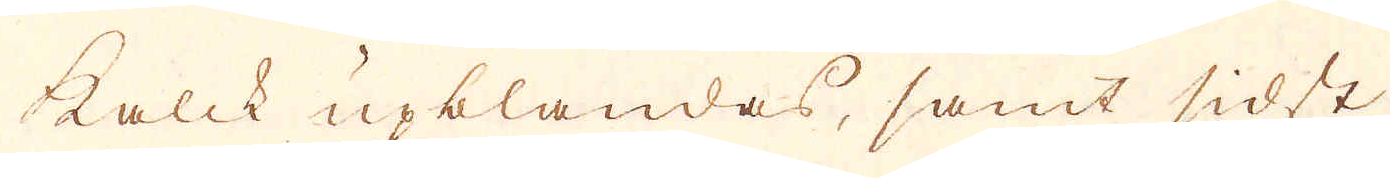kalck upblandas, samt sidst
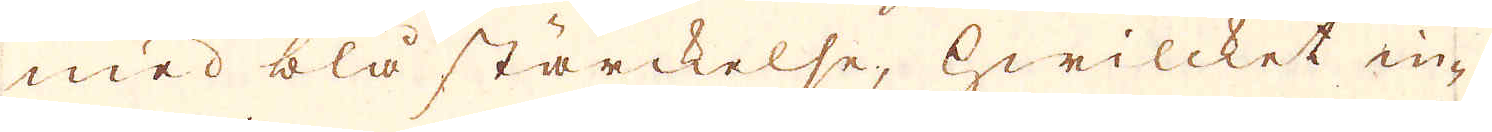med blå stärckelse, hwilcket in-
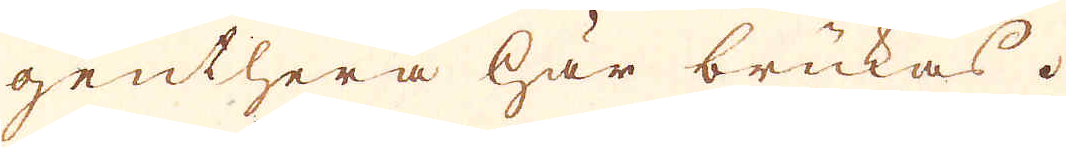genthera här brukas.
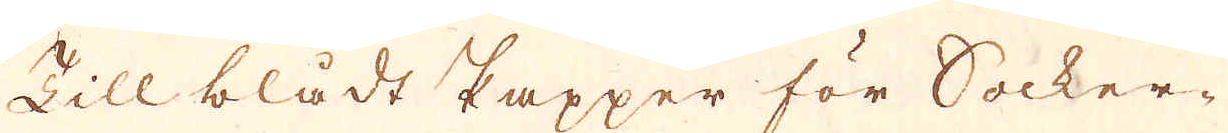Till blådt Papper för Socker-
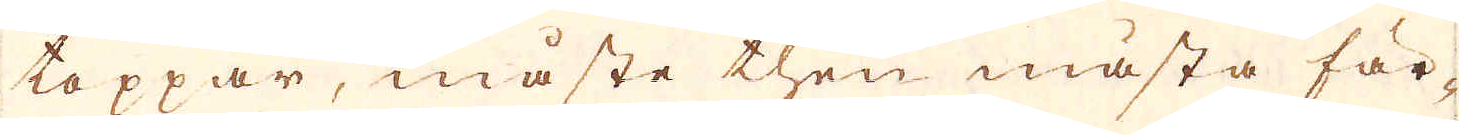toppar, måste then mästa fär-
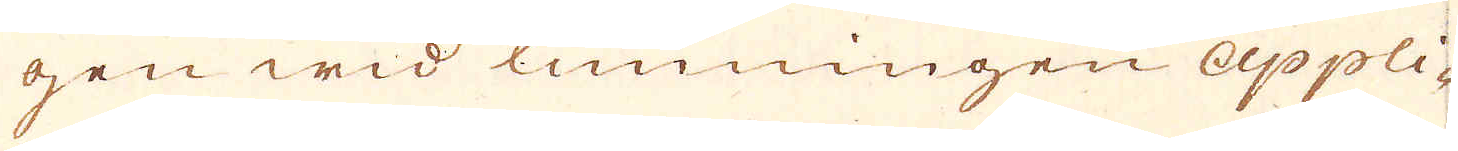gen wid limningen appli-
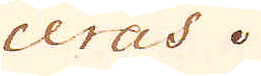ceras.
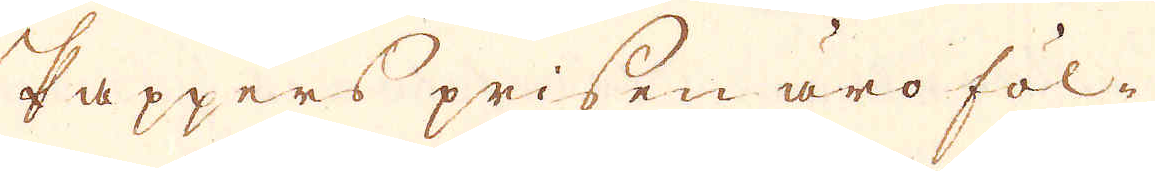Pappers prisen äro föl-
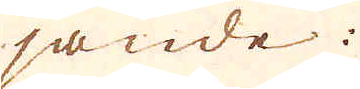jande:
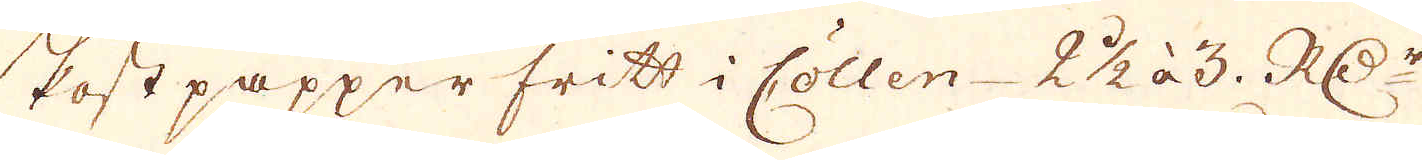Postpapper fritt i Cöllen 2 1/2 à 3 RD:r
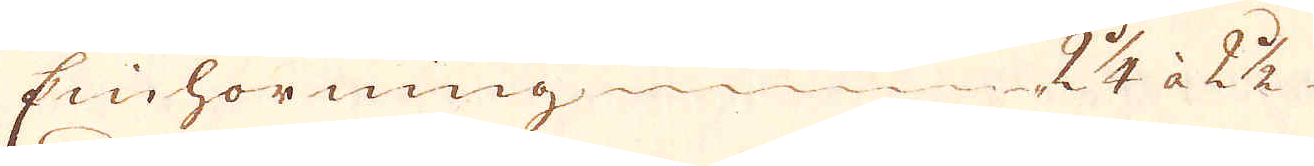Einhorning 2 1/4 à 2 1/2
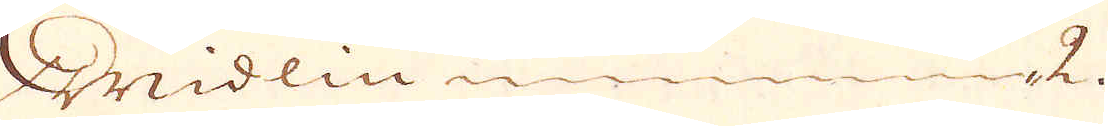Widlin 2.
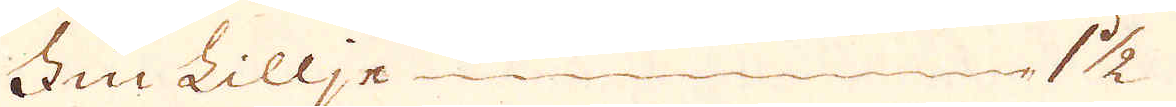Fin Lillje 1 1/2
